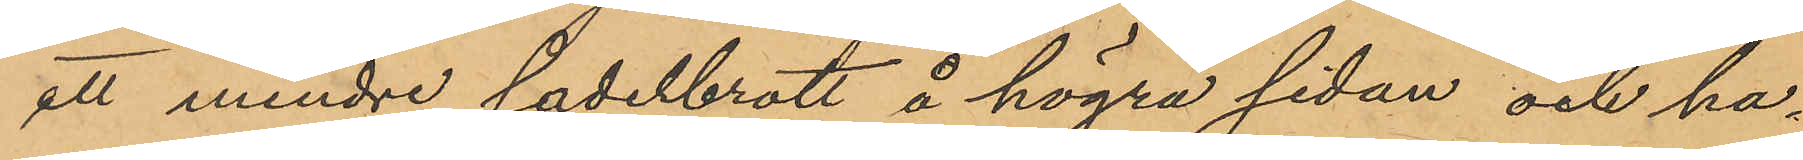ett mindre sadelbrott å högra sidan och ha¬
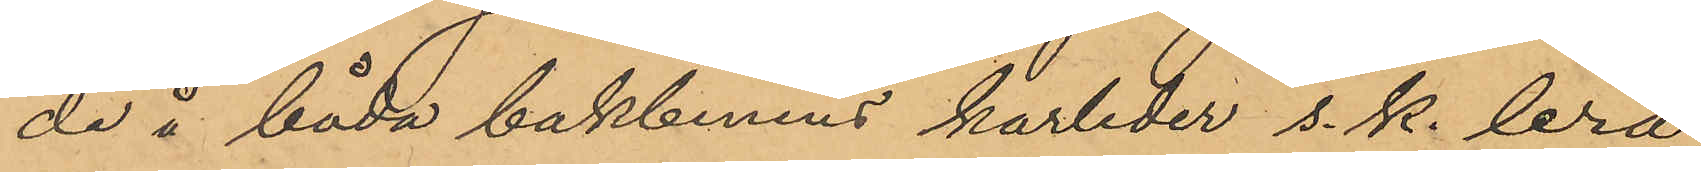de å båda bakbenens hasleder s. k. lera,
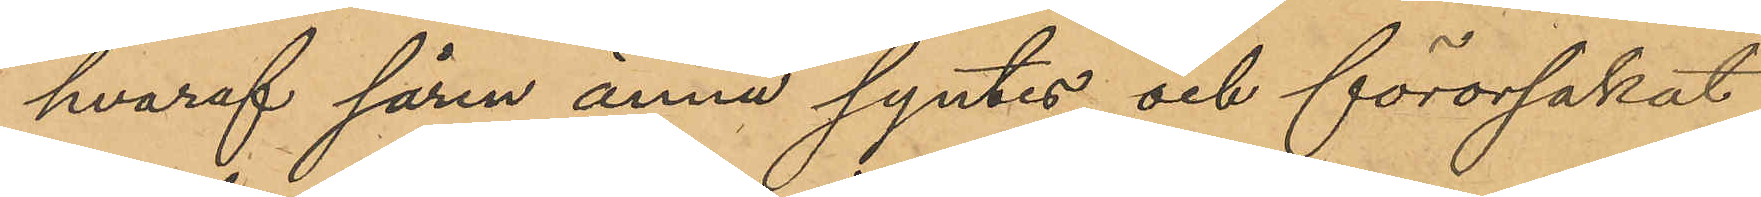hvaraf såren ännu syntes och förorsakat
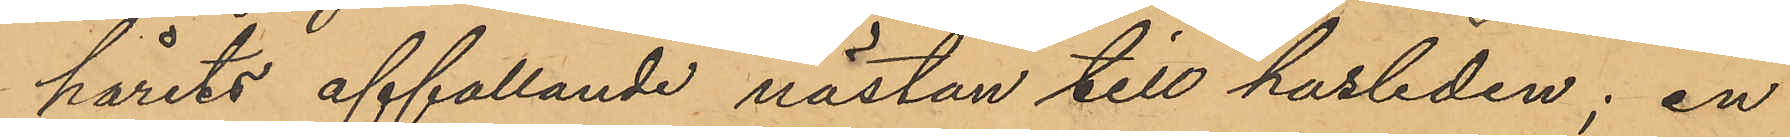hårets affallande nästan till hasleden; en
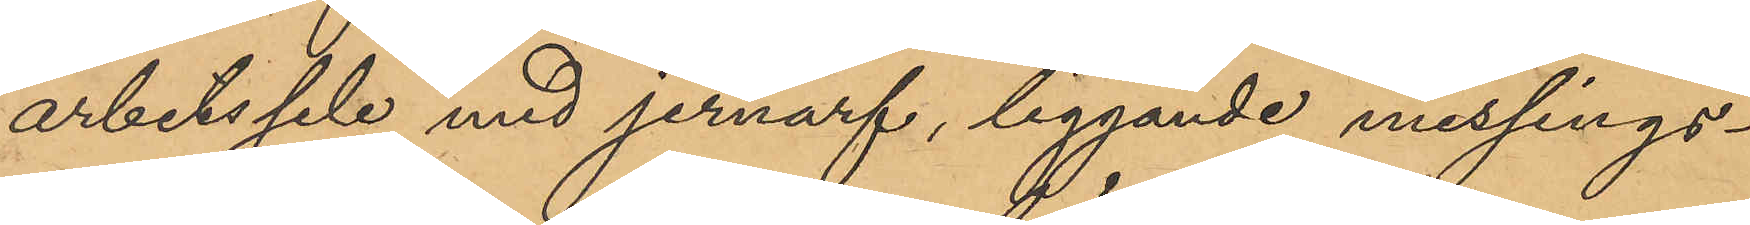arbetssele med jernarf, liggande messings¬
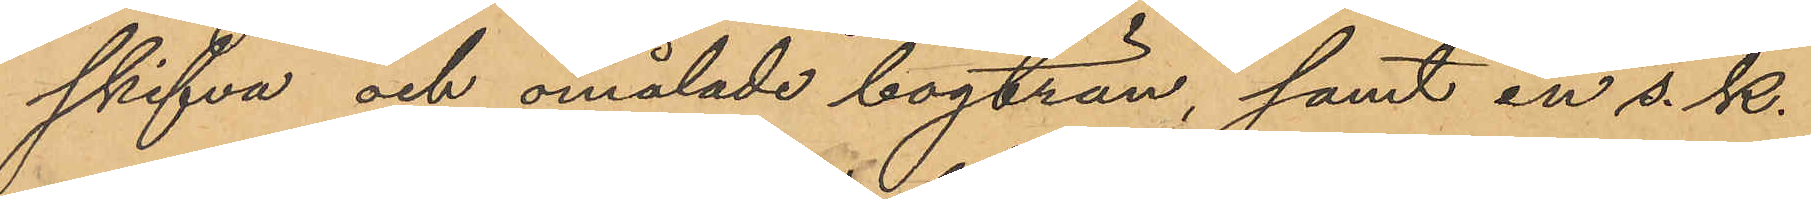skifva och omålade bogträn, samt en s. k.
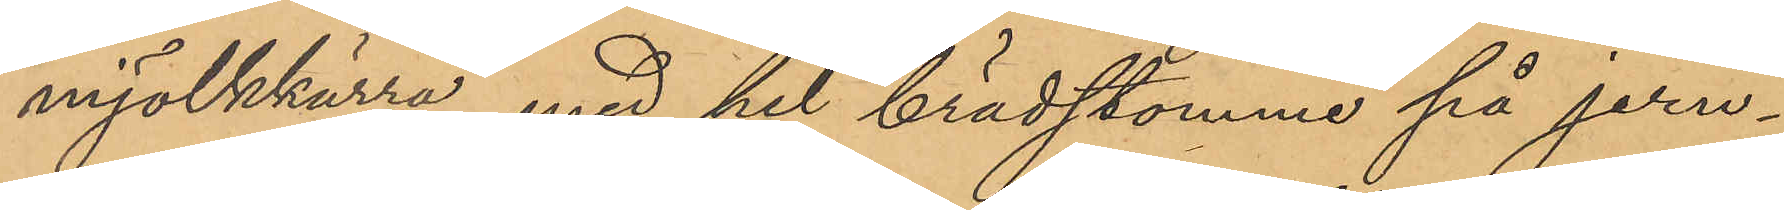mjölkkärra med hel brädstomme på jern¬
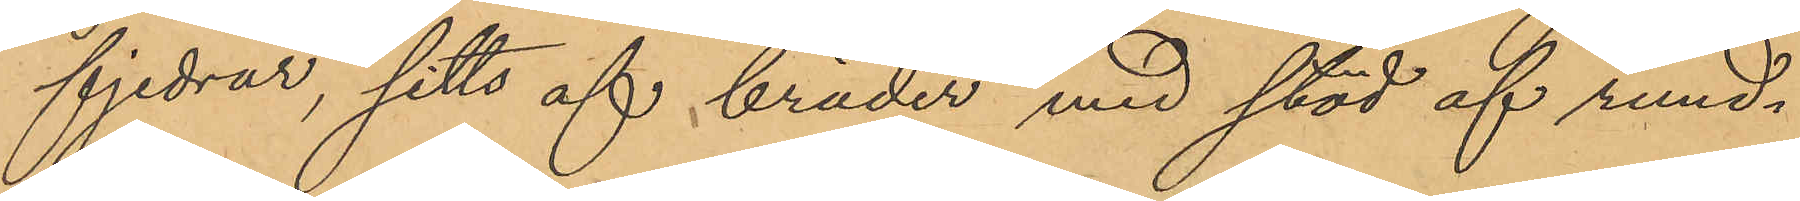fjedrar, sitts af bräder med stöd af rund¬
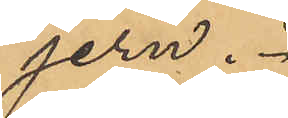jern.
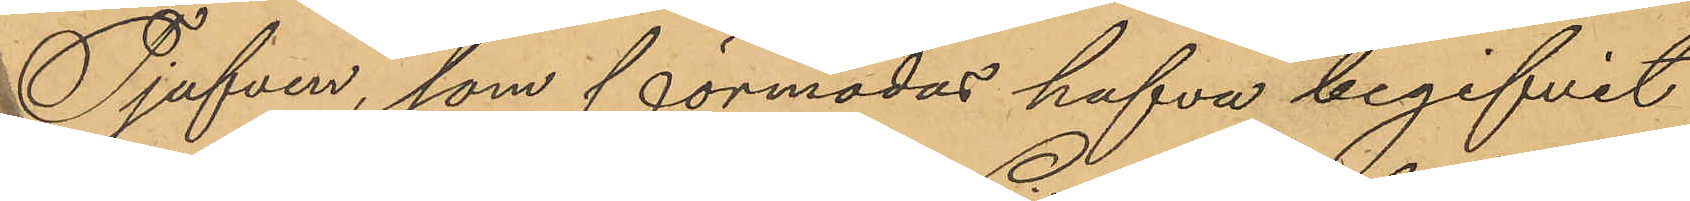Tjufven, som förmodas hafva begifvit
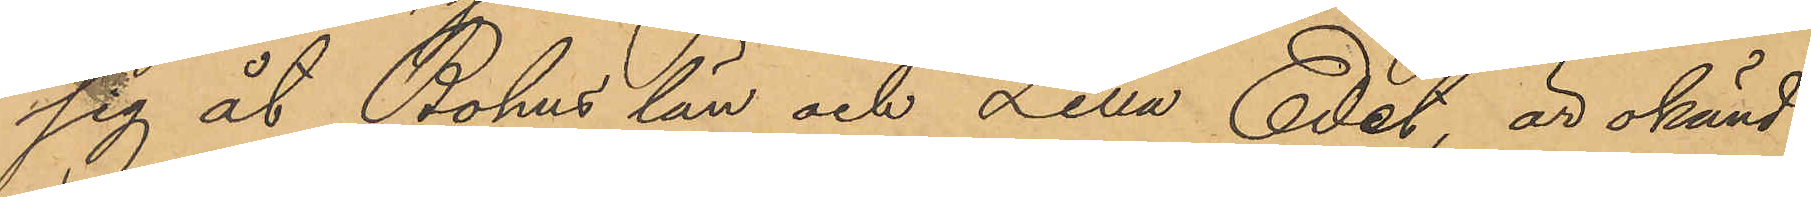sig åt Bohus län och Lilla Edet är okänd.
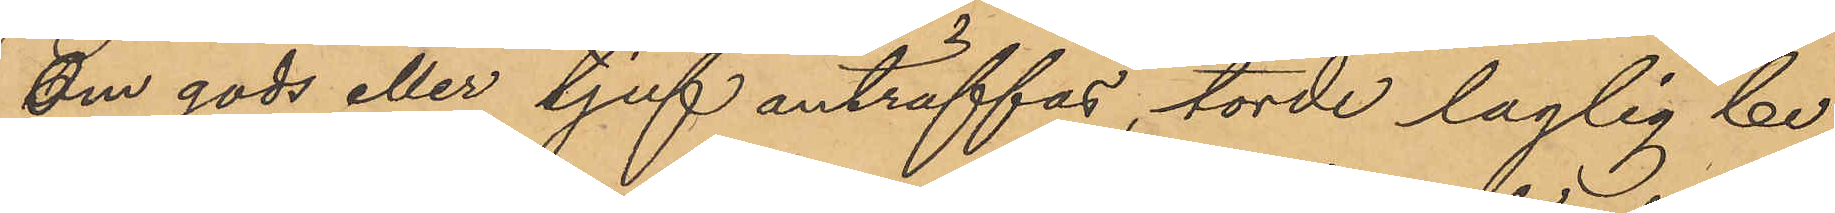Om gods eller tjuf anträffas, torde laglig be¬
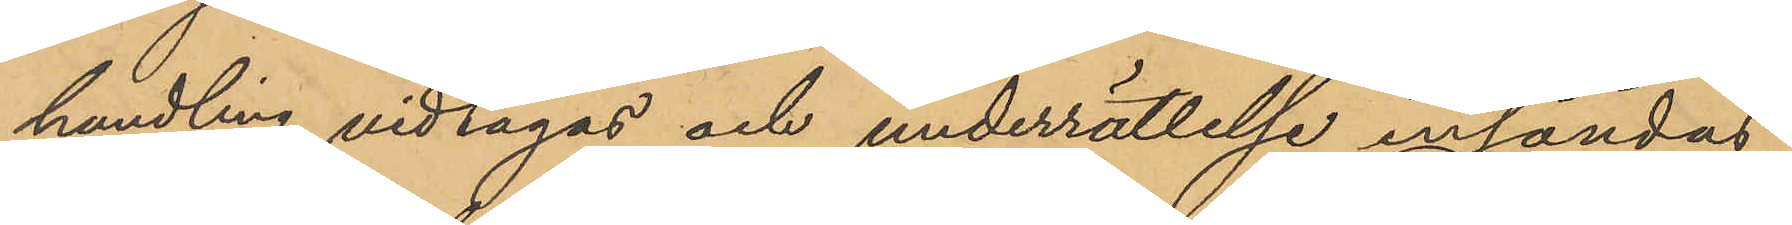handling vidtagas och underrättelse insändas
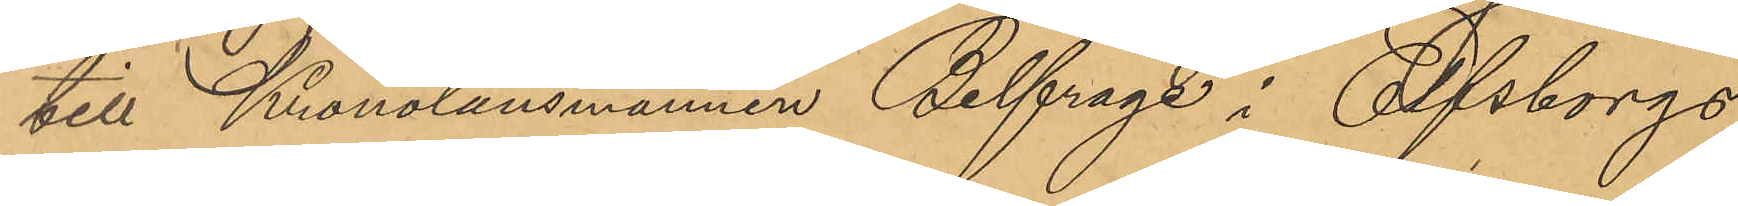till Kronolänsmannen Belfrage i Elfsborgs
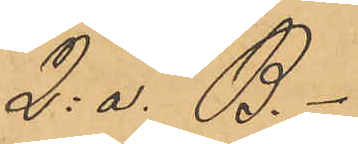2: a. B.-"
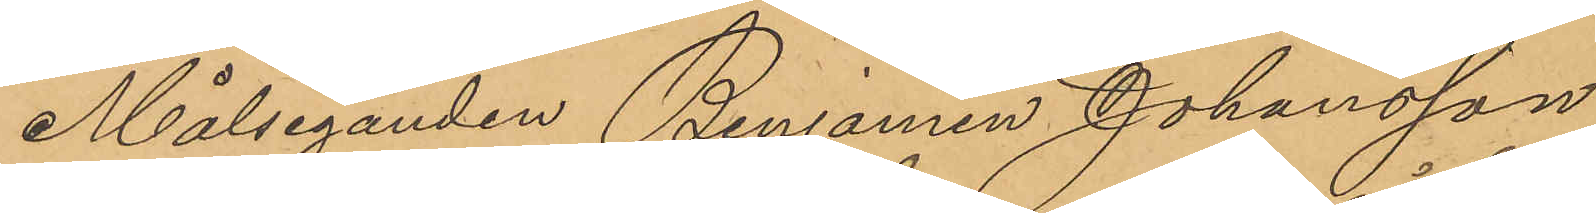Målseganden Benjamin Johansson
